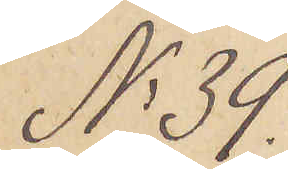No 39.
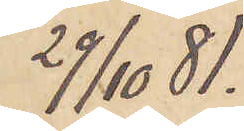29/10  81.
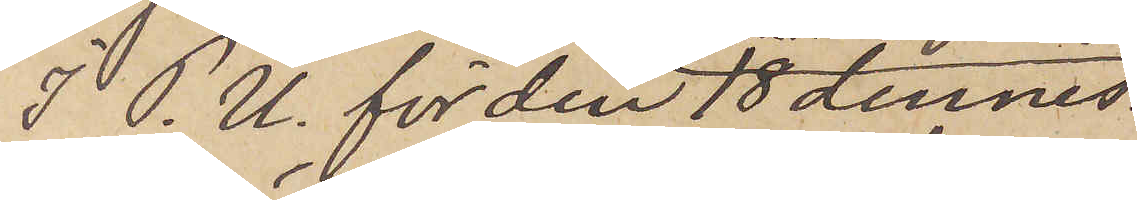I P.U. för den 18 dennes
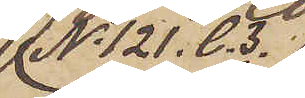No 121. C. 3.
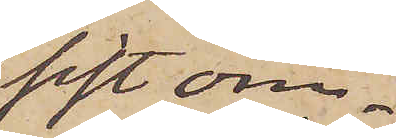sist om¬
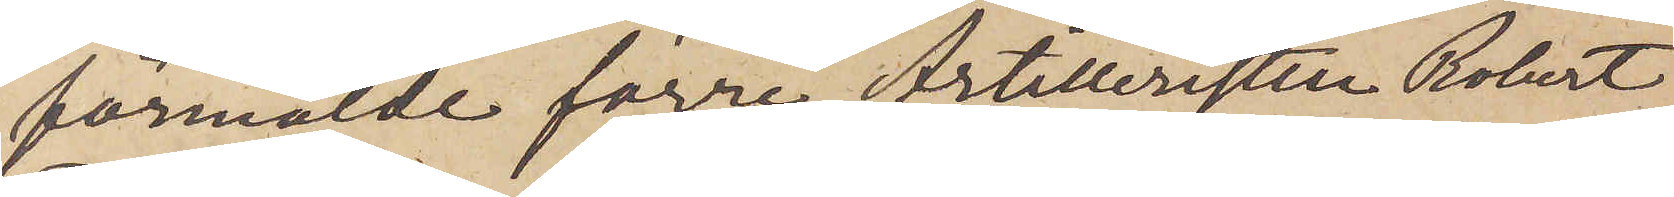förmälde förre Artilleristen Robert
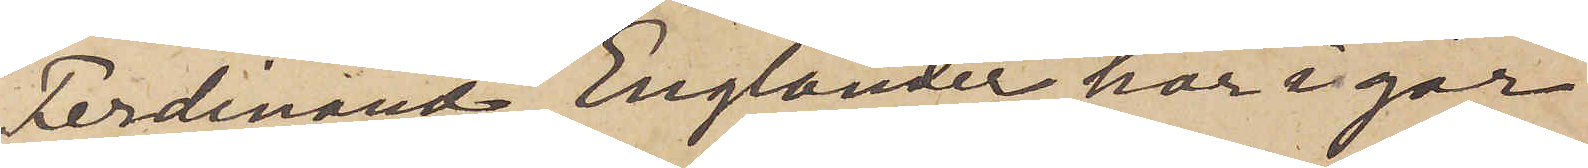Ferdinand Englander har i går
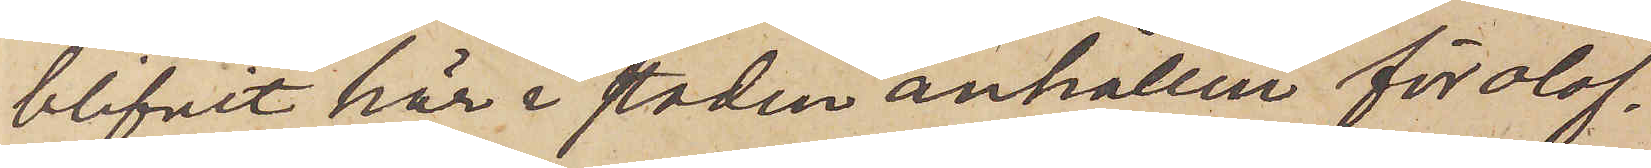blifvit här i staden anhållen för olof¬
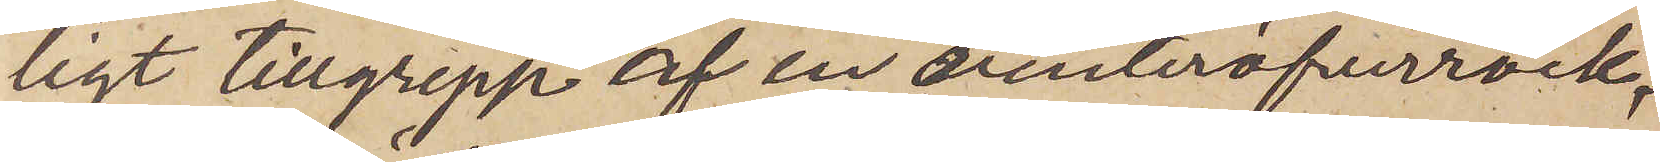ligt tillgrepp af en vinteröfverrock,
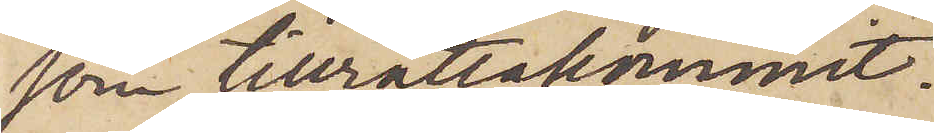som tillrättakommit.
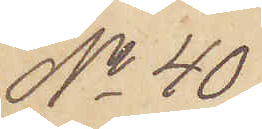No 40
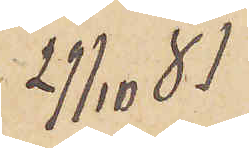29/10  81
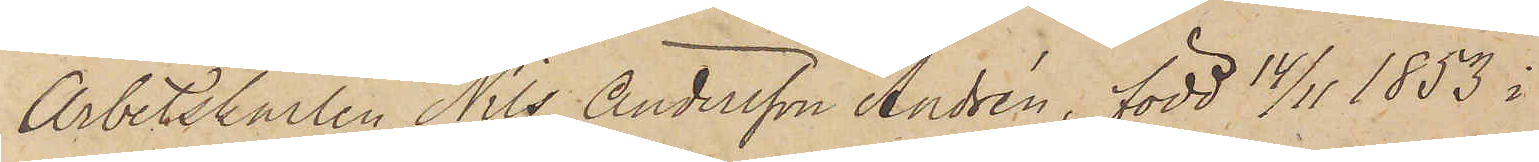Arbetskarlen Nils Andersson Andrén, född 14/11 1853 i
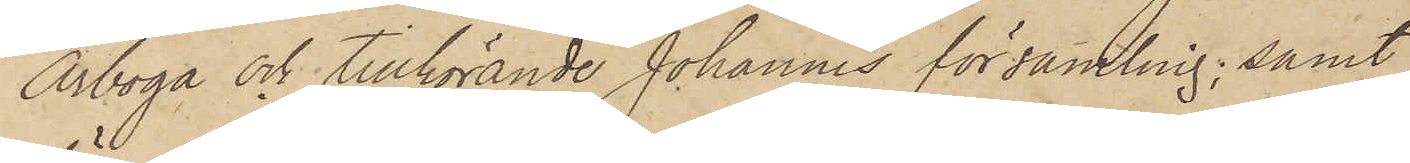Arboga och tillhörande Johannes församling; samt
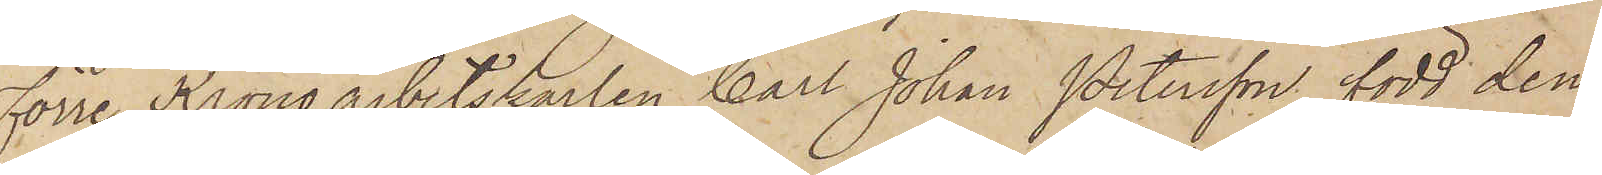Förre Kronoarbetskarlen Carl Johan Petersson, född den
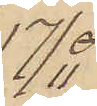17/11
